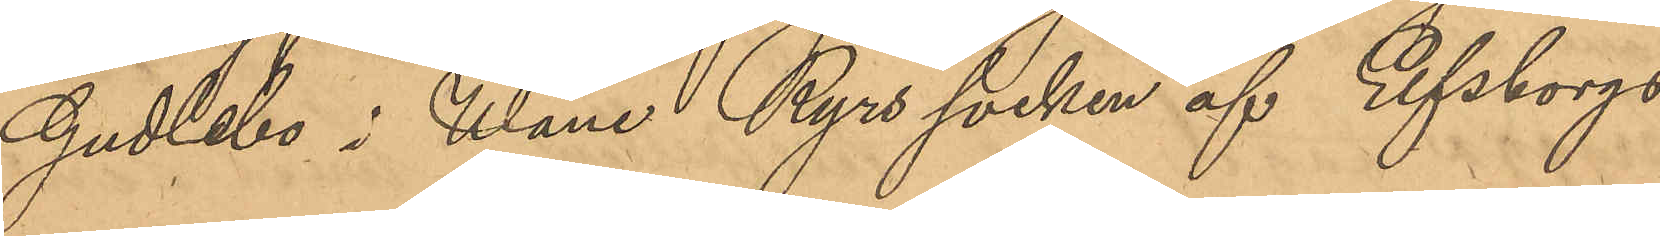Gudlebo i Wäne Ryrs socken af Elfsborgs
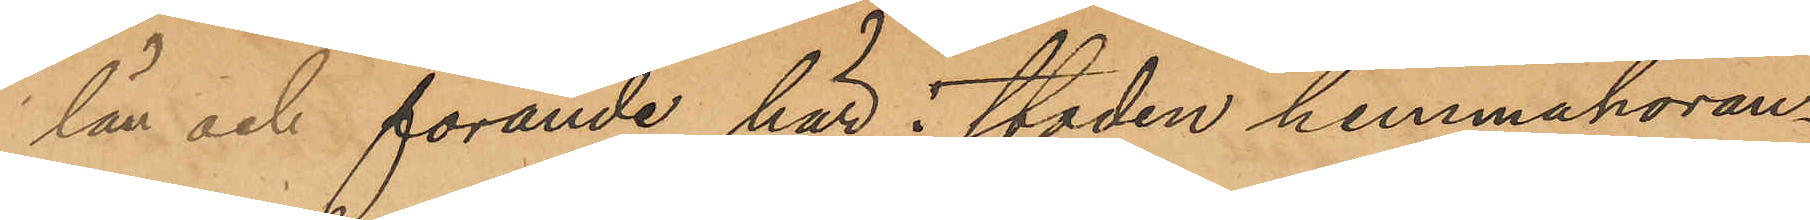län och förande här i staden hemmahöran¬
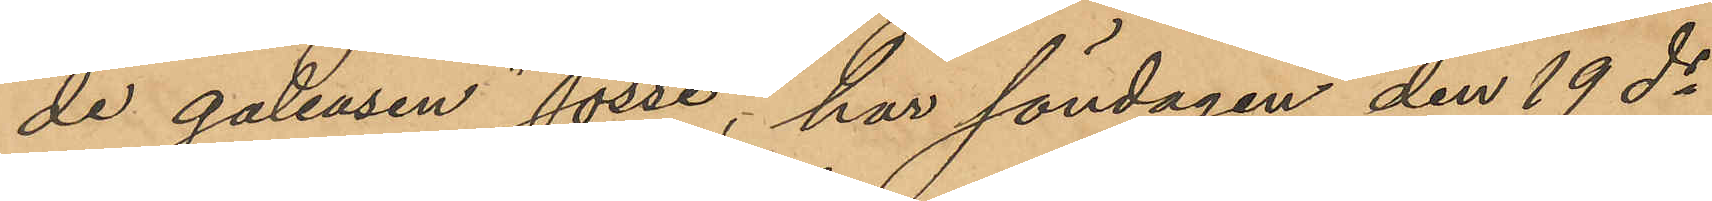de galeasen "Jösse", har söndagen den 19 ds
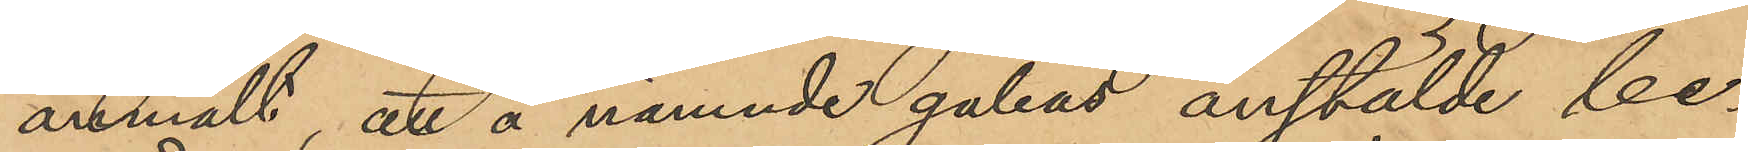anmält, att å nämnde galeas anstälde be¬
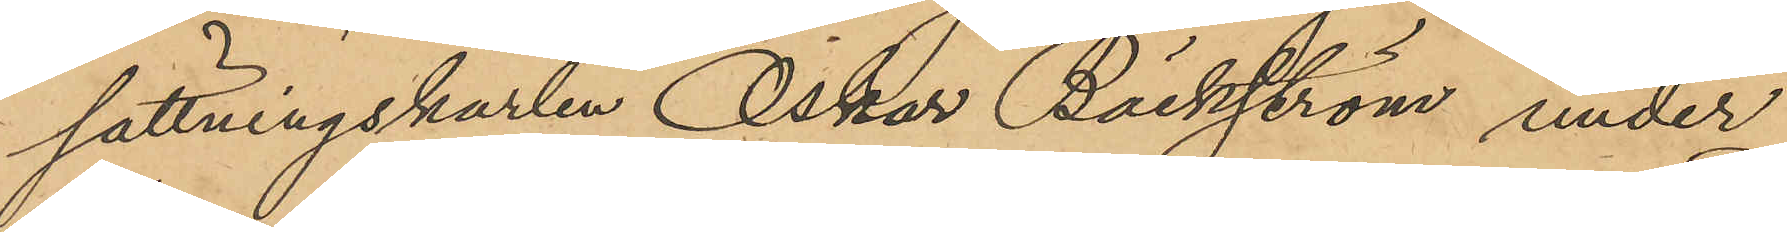sättningskarlen Oskar Bäckström under
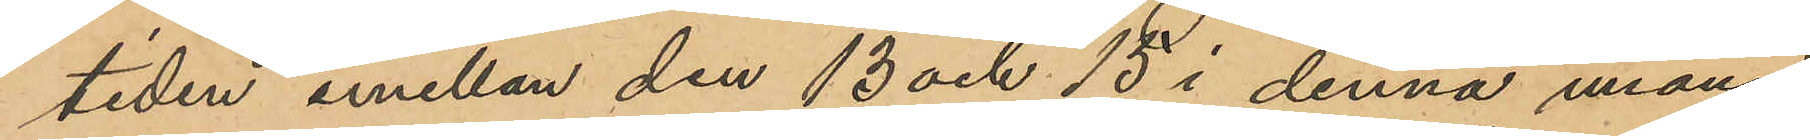tiden emellan den 13 och 15 i denna månad,
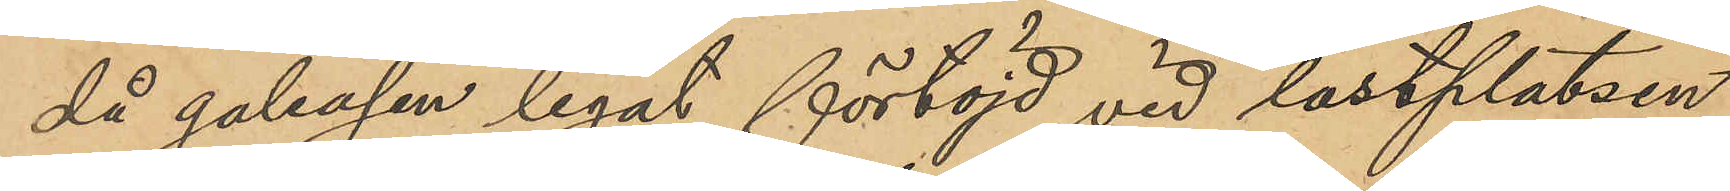då galeasen legat förtöjd vid lastplatsen
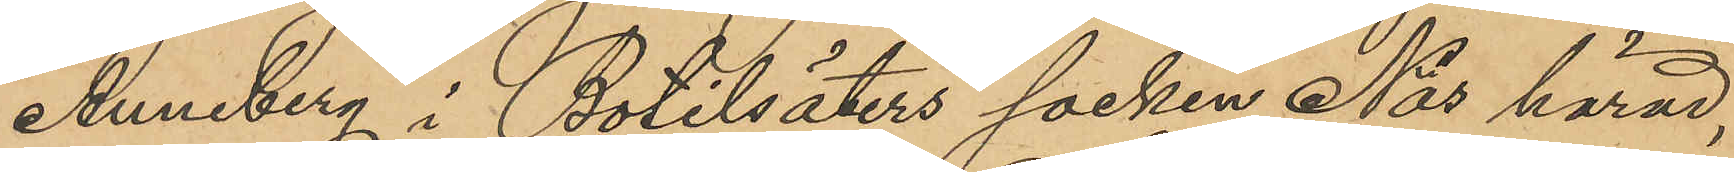Anneberg i Botilsäters socken Näs härad,
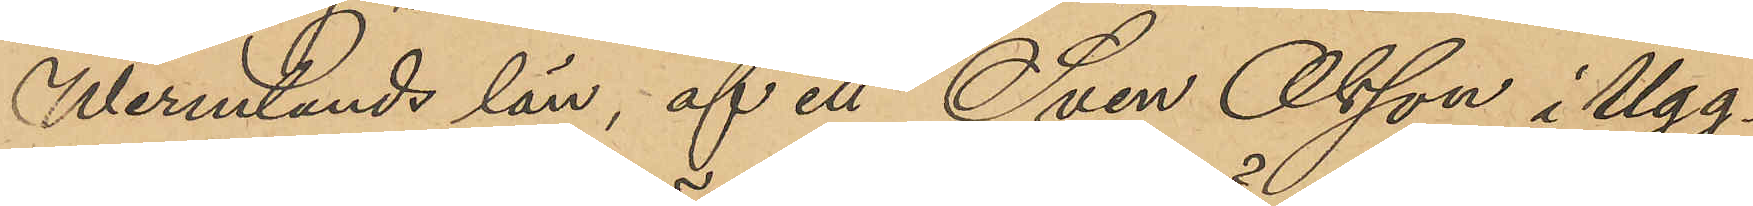Wermlands län, af ett Sven Olsson i Ugg¬
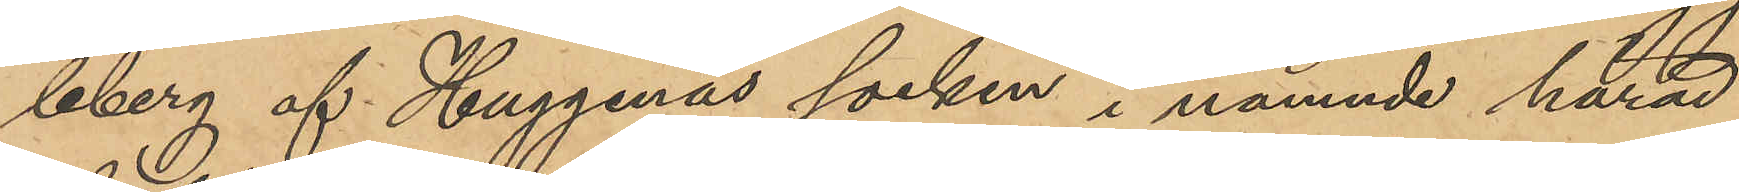leberg af Huggenäs socken i nämnde härad
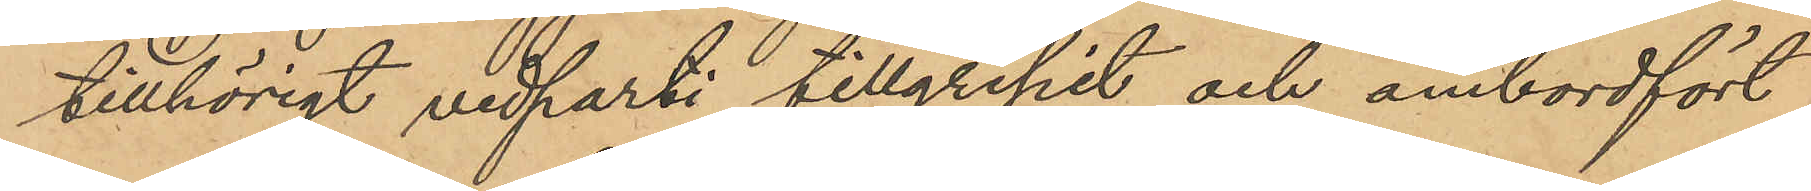tillhörigt vedparti tillgripit och ombordfört
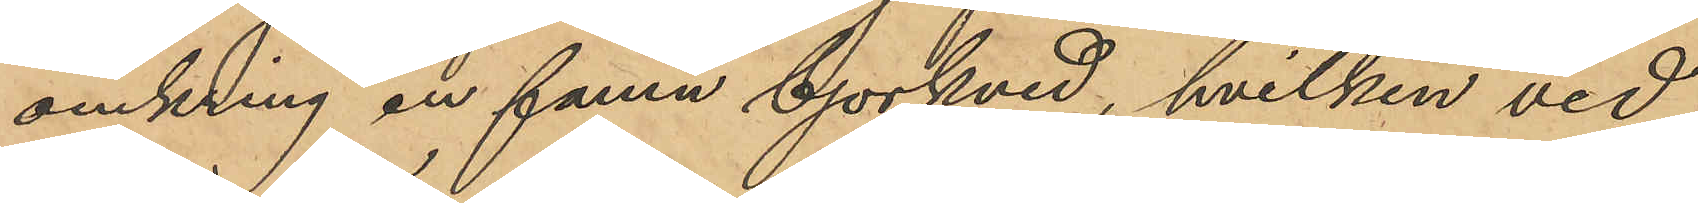omkring en famn björkved, hvilken ved
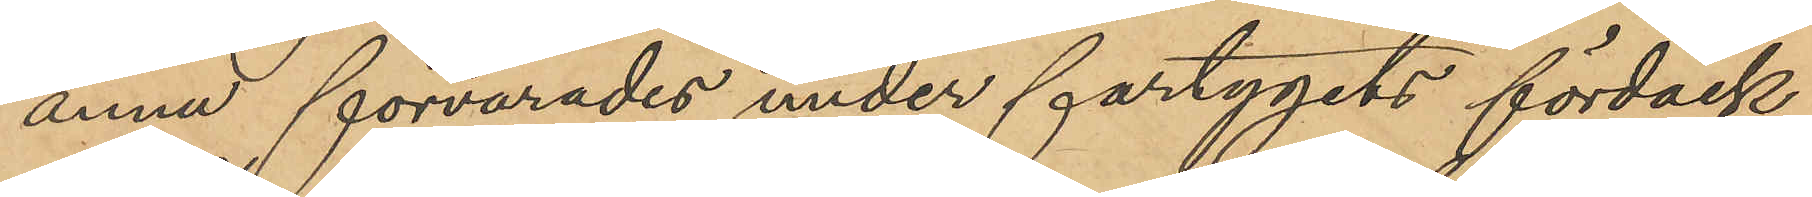ännu förvarades under fartygets fördäck.
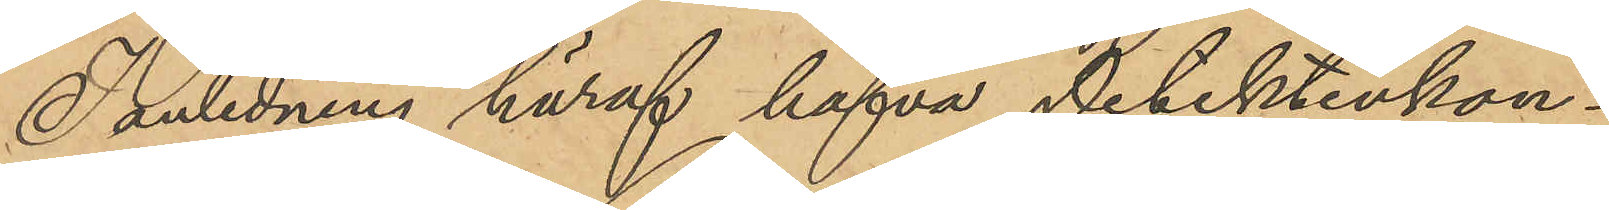I anledning häraf hafva Detektivkon¬
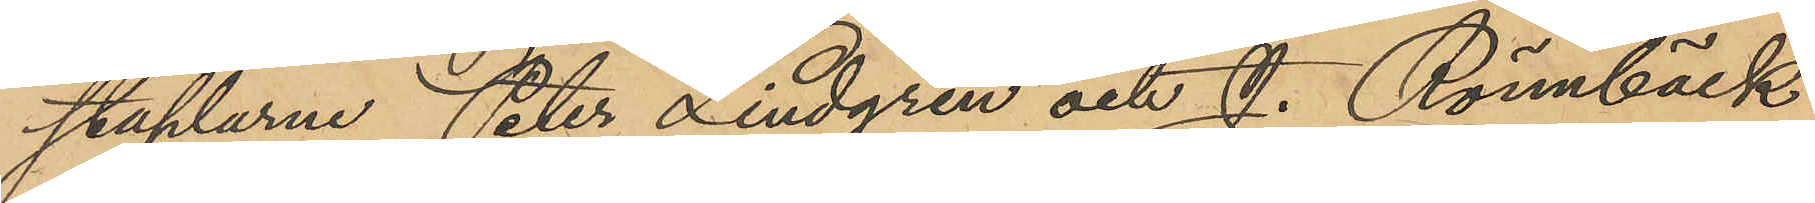staplarne Peter Lindgren och J. Rönnbäck
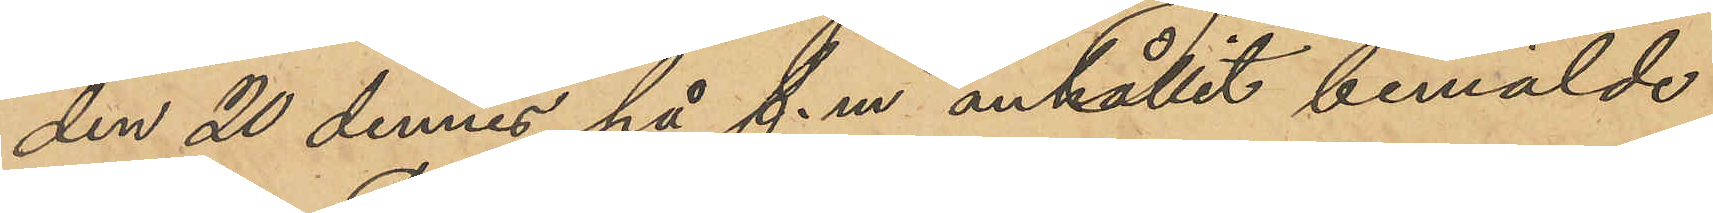den 20 dennes på f.m. anhållit bemälde
